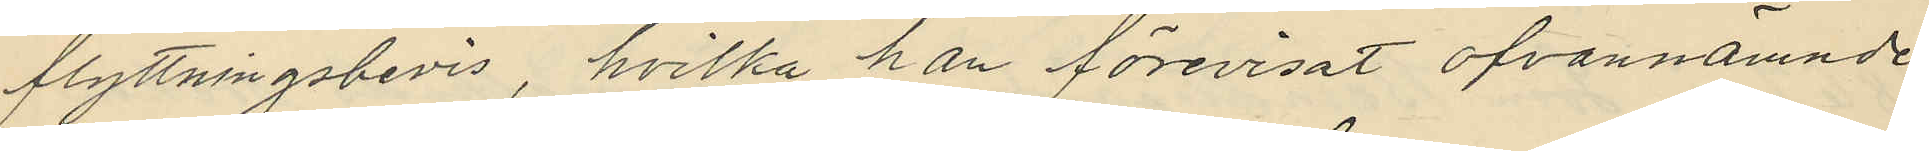flyttningsbevis, hvilka han förevisat ofvannämnde
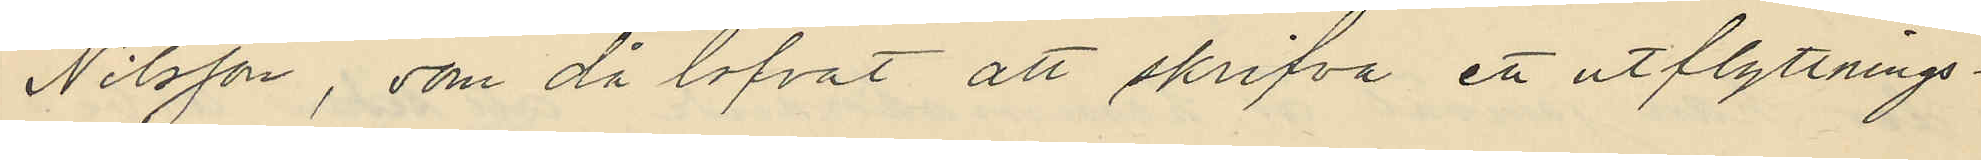Nilsson, som då lofvat att skrifva ett utflyttnings¬
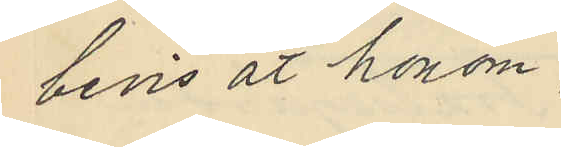bevis åt honom;
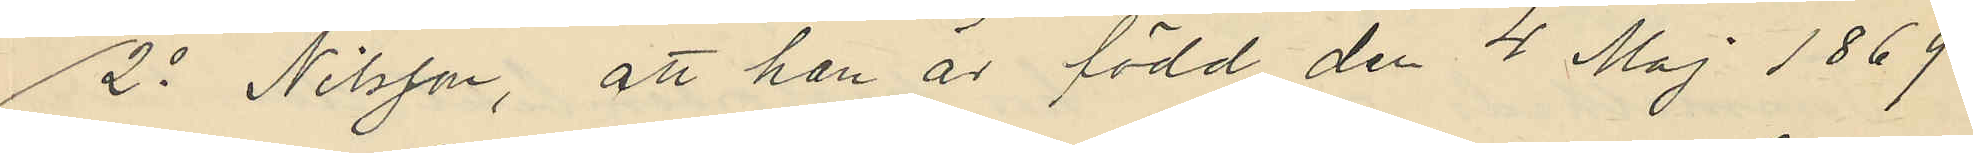2o Nilsson, att han är född den 4 Maj 1869
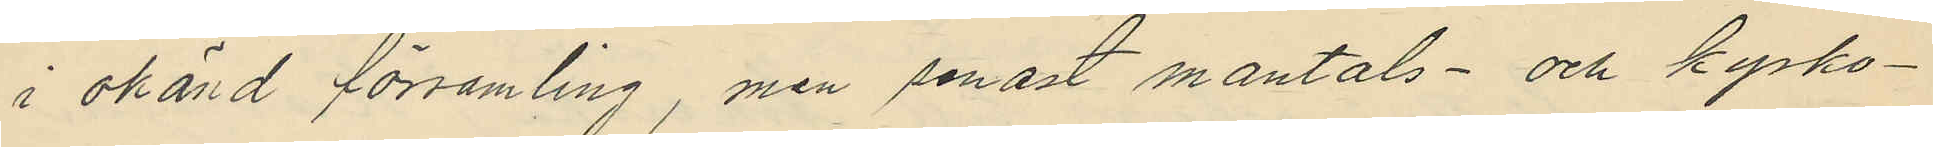i okänd församling, men senast mantals- och kyrko¬
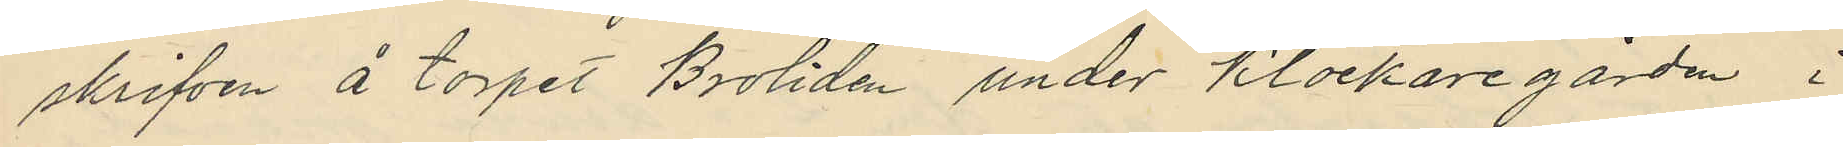skrifven å torpet Broliden under Klockaregården i
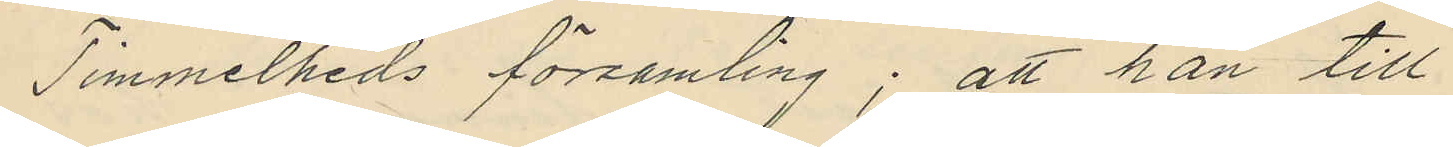Timmelheds församling; att han till
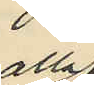alla
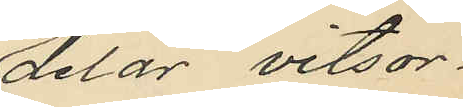delar vitsor¬
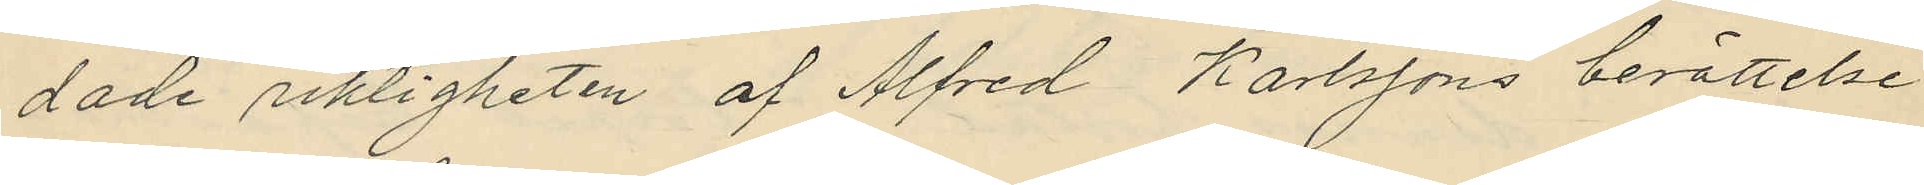dade riktigheten af Alfred Karlssons berättelse
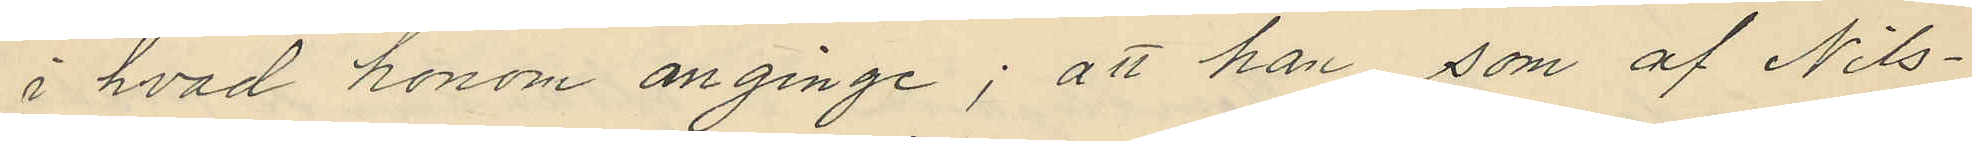i hvad honom anginge; att han som af Nils¬
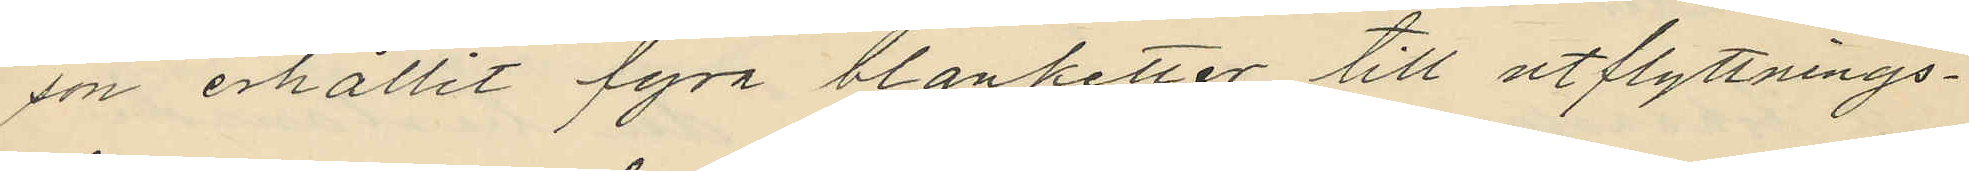son erhållit fyra blanketter till utflyttnings¬
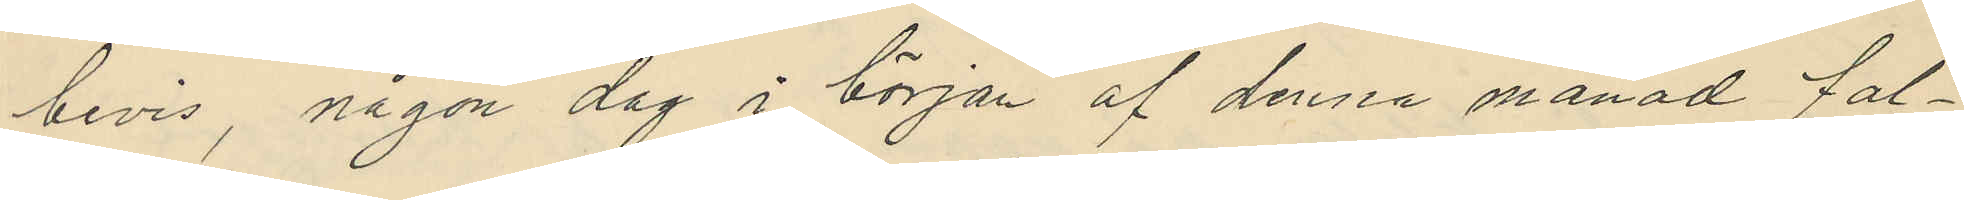bevis, någon dag i början af denna månad fal¬
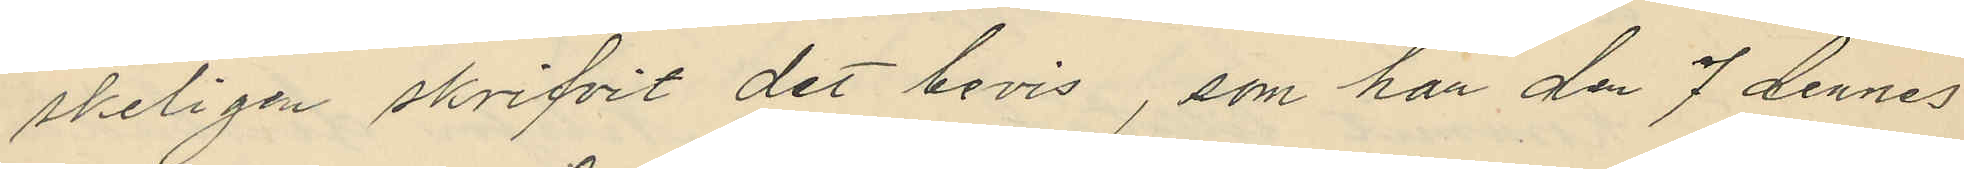skeligen skrifvit det bevis, som har den 7 dennes
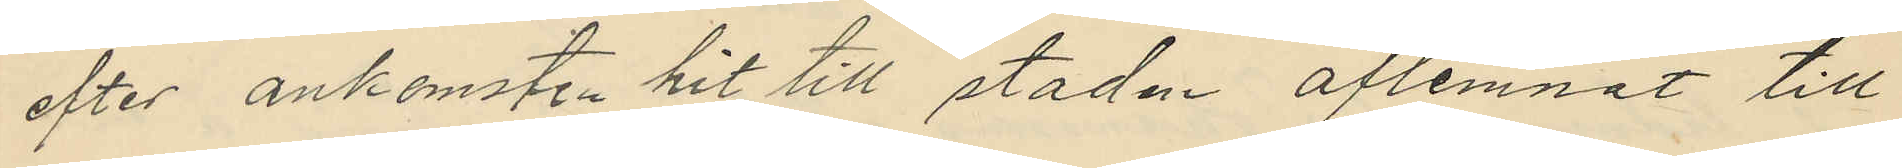efter ankomsten hit till staden aflemnat till
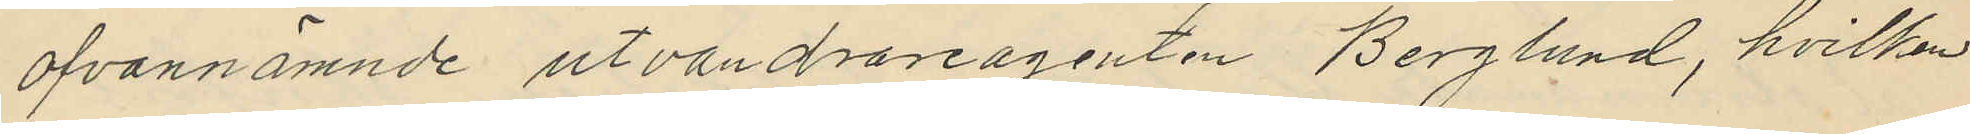ofvannämnde utvandrareagenten Berglund, hvilken
